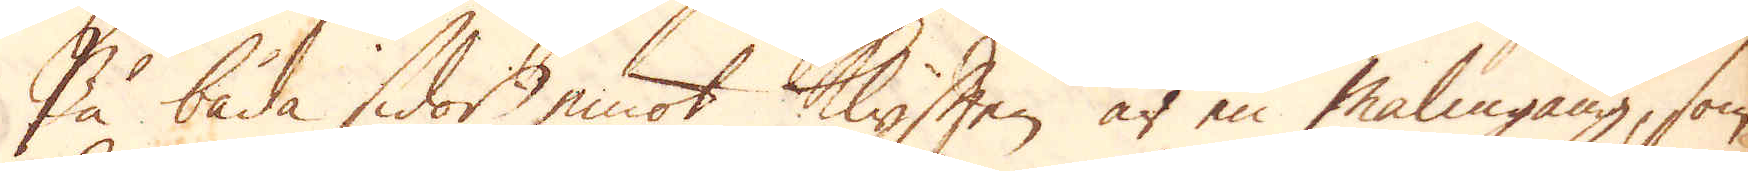På båda sidor emot Klyften är en malmgång, som
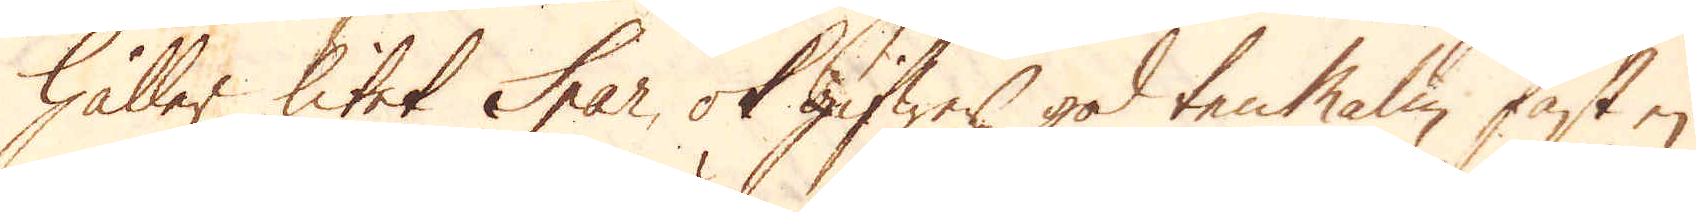håller litet Spar, ok gifwer god ten Malm fast ej
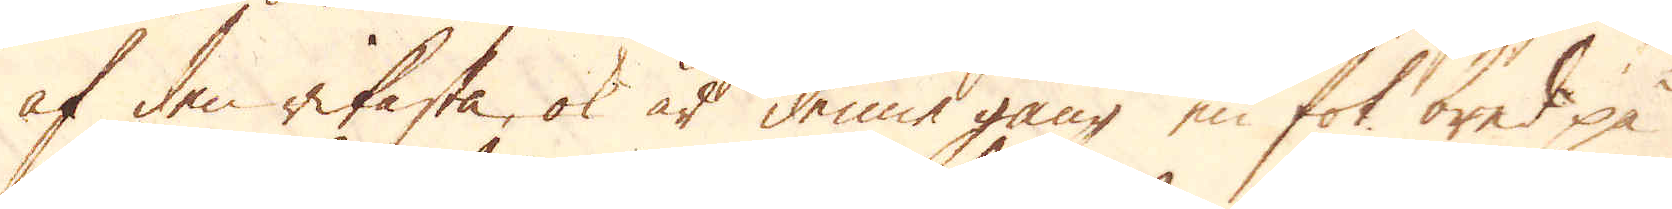af den rikaste, ok at denne gång en fot bred på
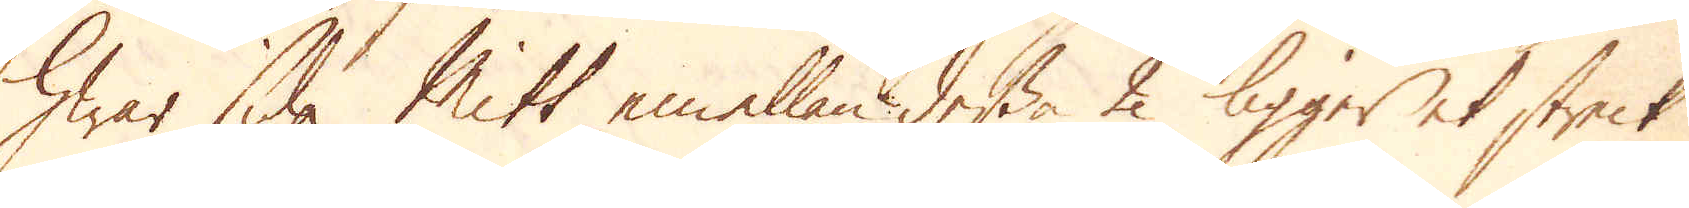hwar sida Mitt emellan dessa 2 ligger et streck
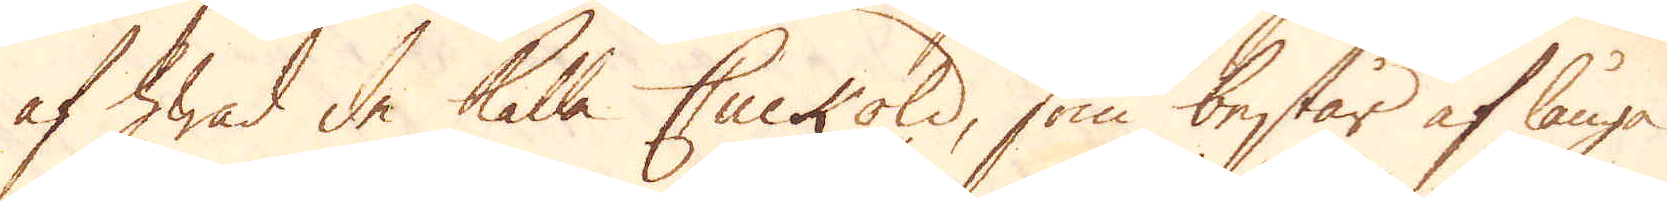af hwad de kalla Cuckold, som består af långa
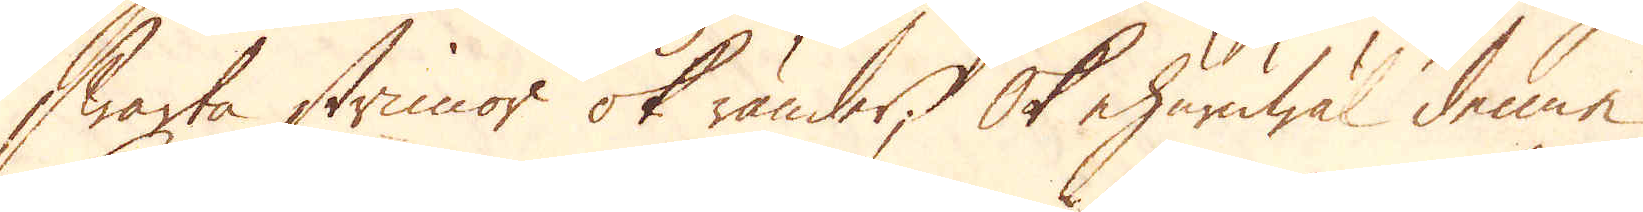swarta strimor ok ränder; Ok ehuruwäl denne
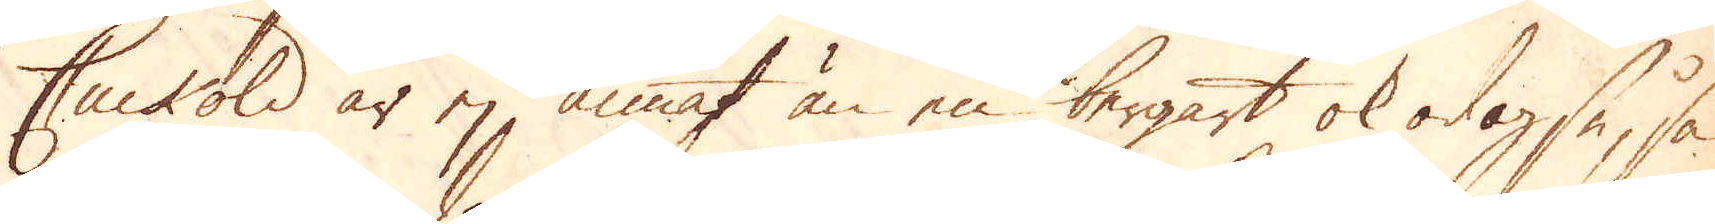Cuckold är ej annat än en bergart ok odogse, så
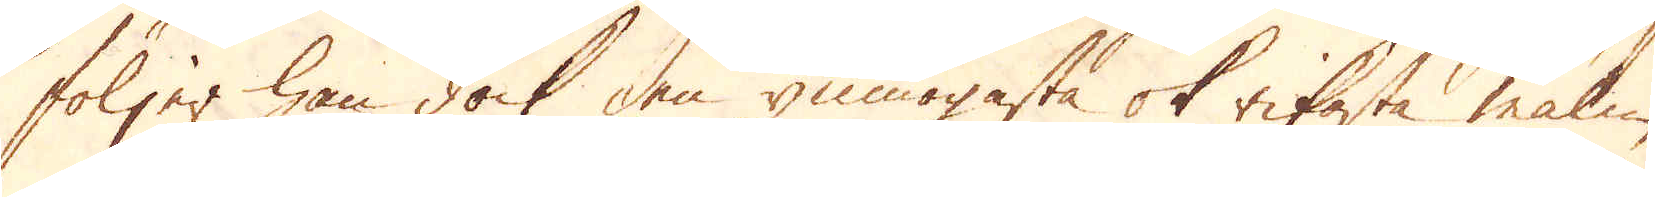följer han dock den ymnogasta ok rikaste malm
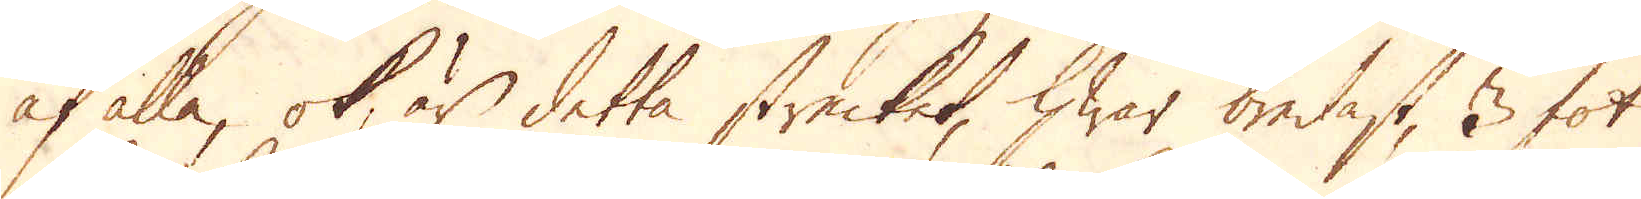af alla, ok är detta strecket, hwar bredast, 3 fot
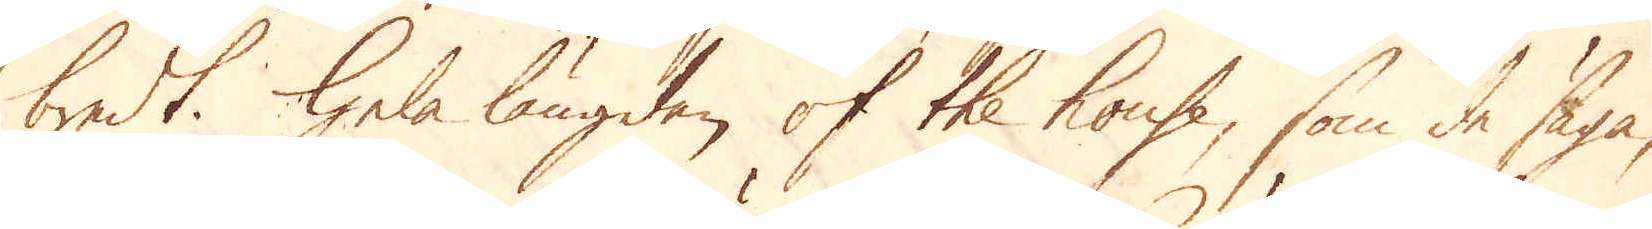bredt. Hela längden of the house, som de säga,
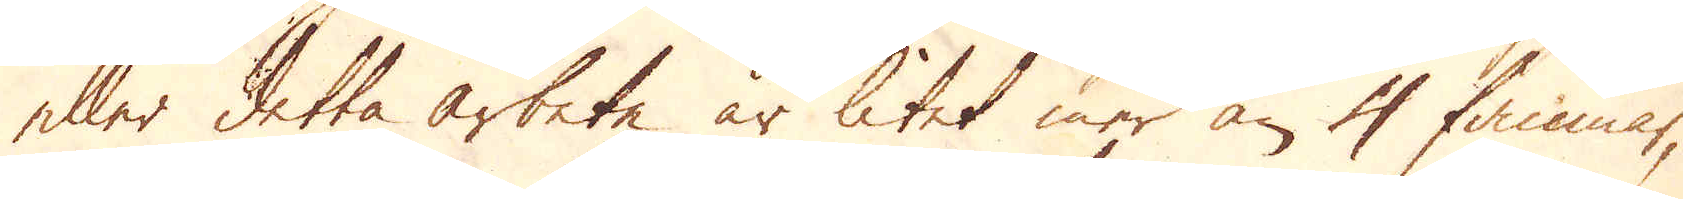eller detta arbete är litet mer än 4 famnar,
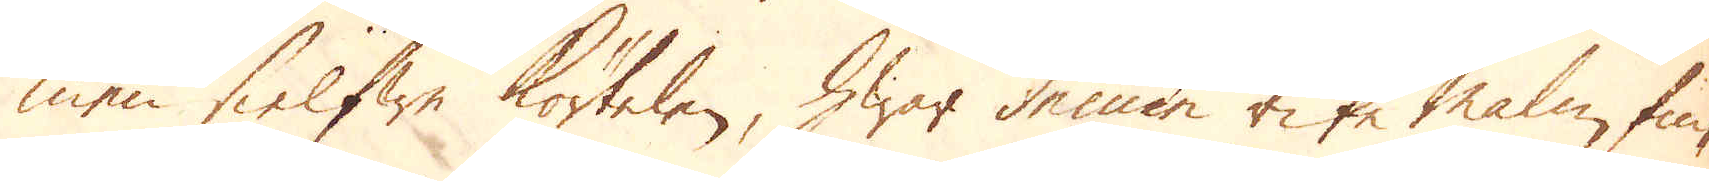men sielfwe körtelen, hwar denne rike Malm fin-
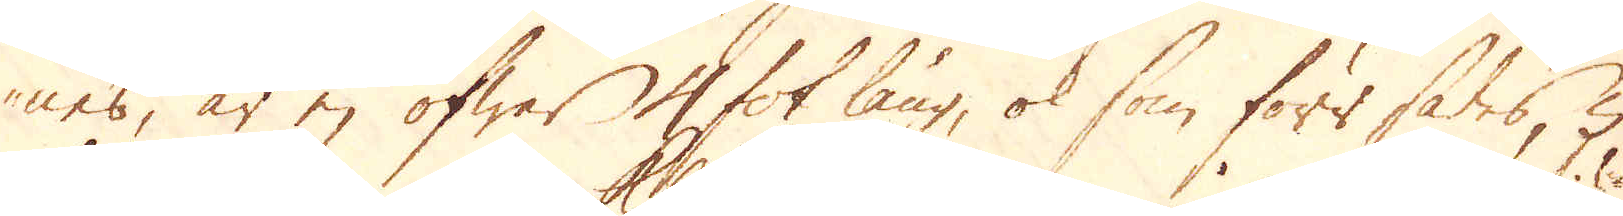nes, är ej öfwer 4 fot lång, ok som förr sades, 5
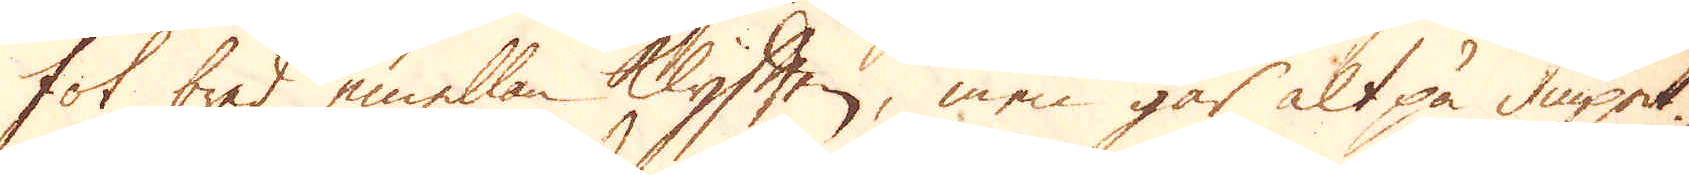fot bred emellan Klyften, men går alt på diupet.
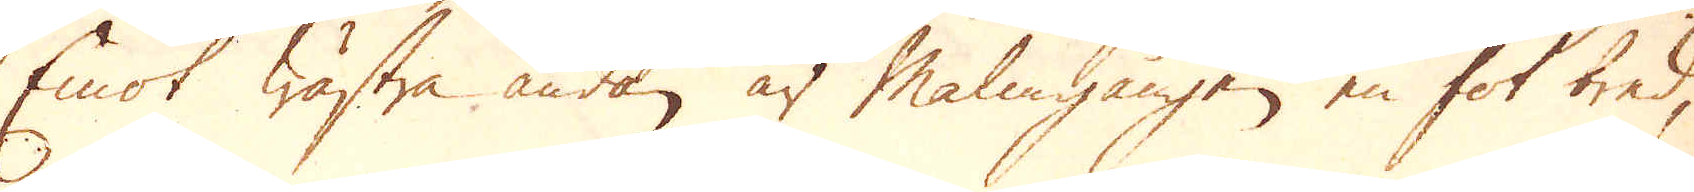Emot wästra ändan är Malmgången en fot bred,
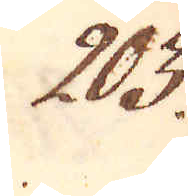203.
